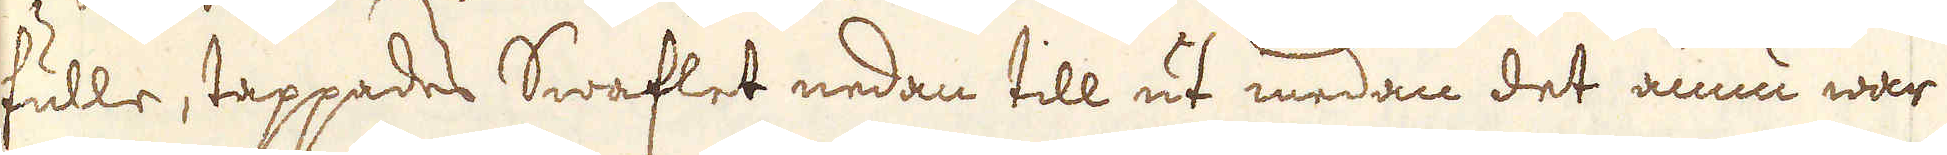fulle, tappades Swaflet nedan till ut medan det ännu war
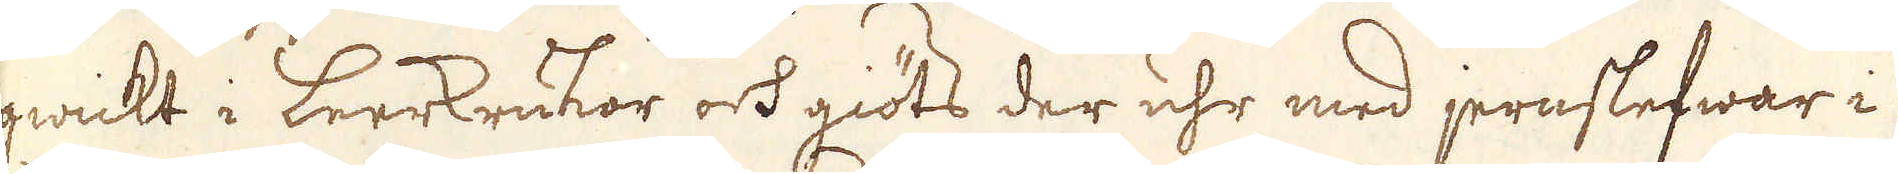qwickt i Leerkrukor och giöts der uhr med jernslefwar i
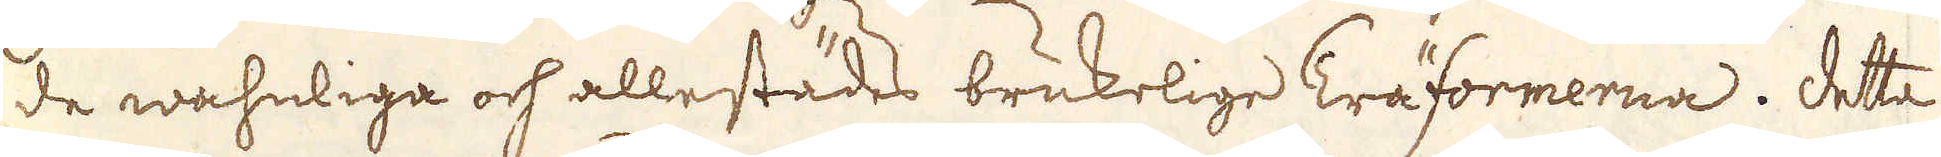de wahnliga och allestädes brukelige Träformerna. Detta
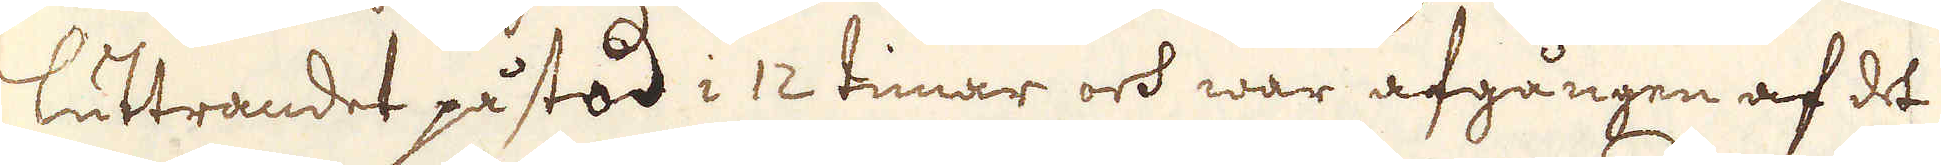luttrandet påstod i 12 timar och war afgången af det
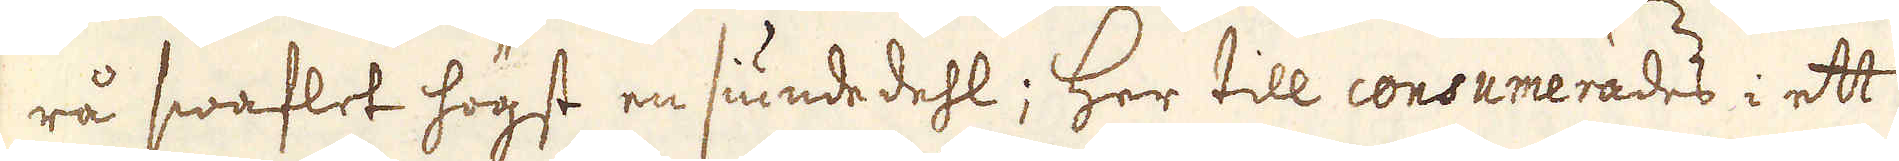rå swaflet högst en siundedehl; Her till consumerades i ett
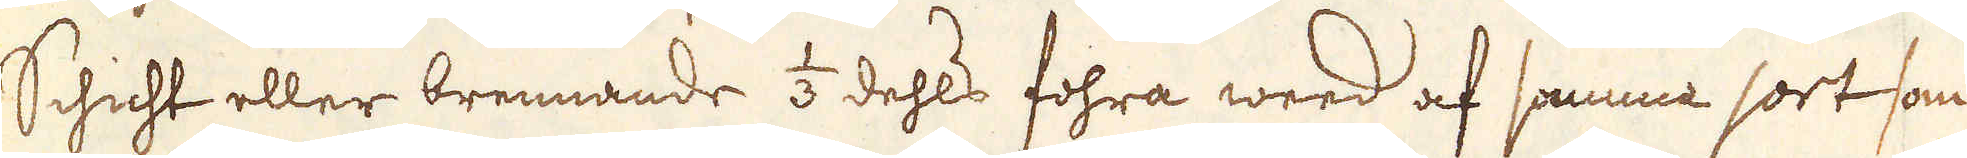Schicht eller brennande 1/3 dehls fohra weed af samma sort som
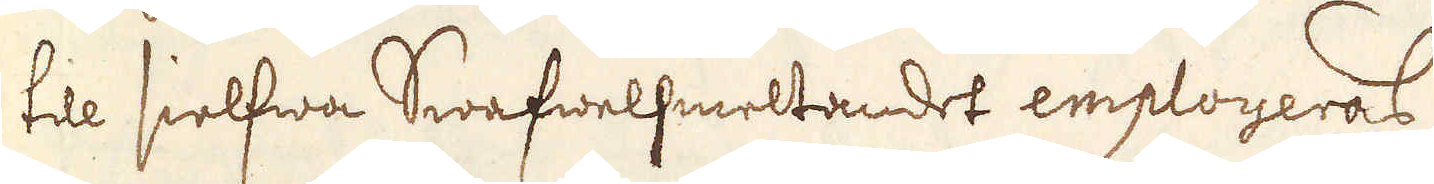till sielfwa Swafwelsmeltandet employeras.
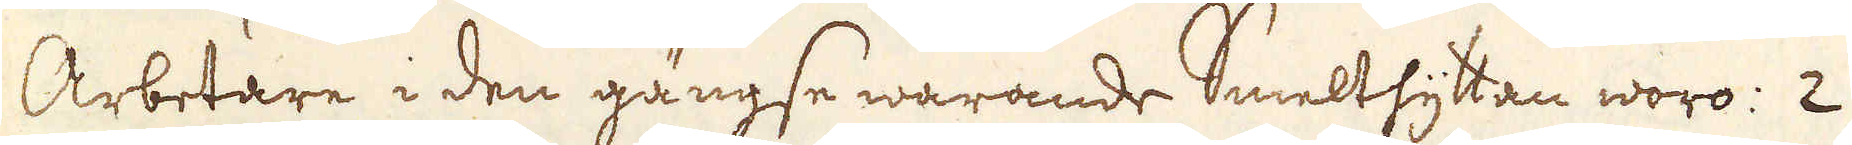Arbetare i den gängse warande smelthyttan woro: 2
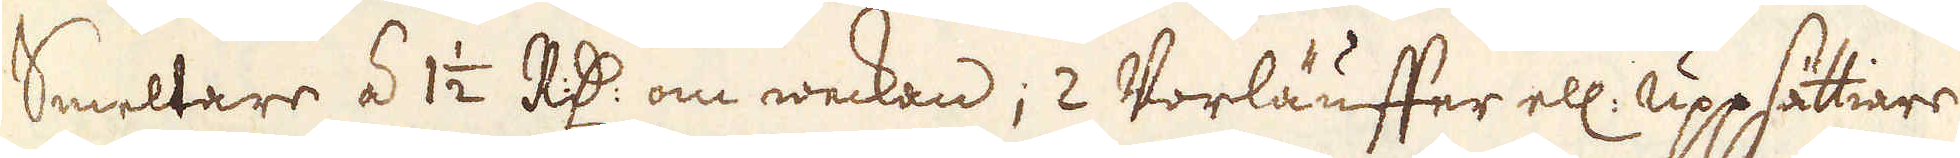Smeltare á 1 1/2 R:dr om weckan; 2 Vorläuffer ell: uppsättiare
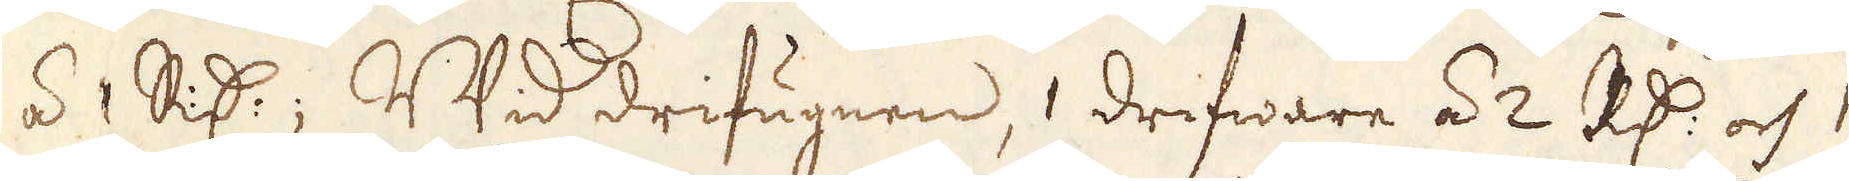á 1 R:dr; Wid drifugnen, 1 drifware á 2 R:dr och 1
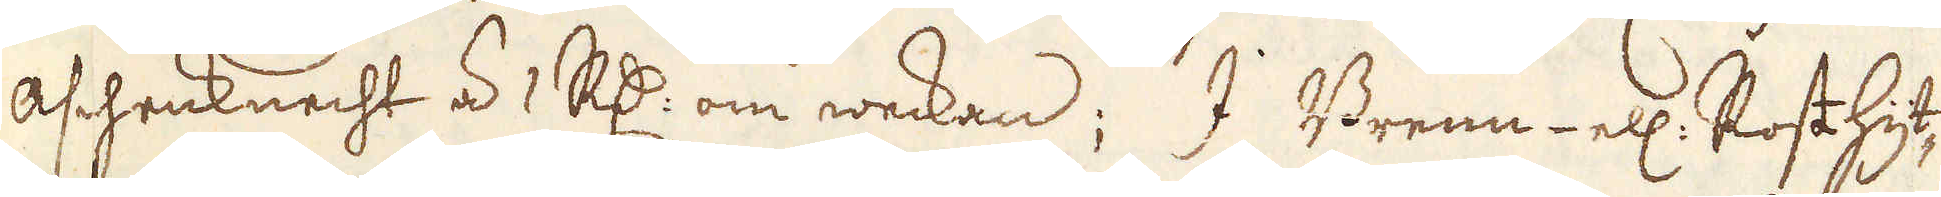ashenknecht á 1 R:dr om weckan; I Brenn- ell: Rosthyt-
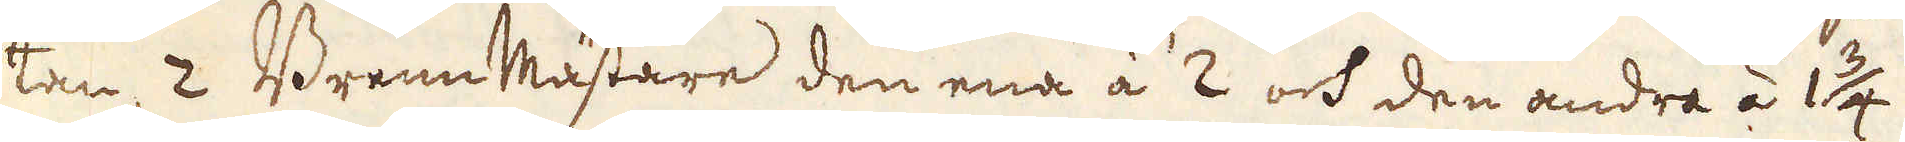tan, 2 Brenn Mästare den ena á 2 och den andra á 1 3/4
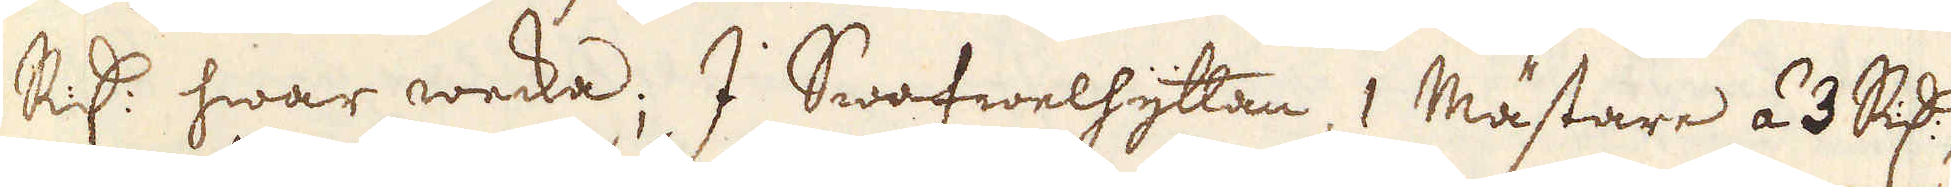R:dr hwar wecka; I Swafwelhyttan, 1 Mästare á 3 R:dr
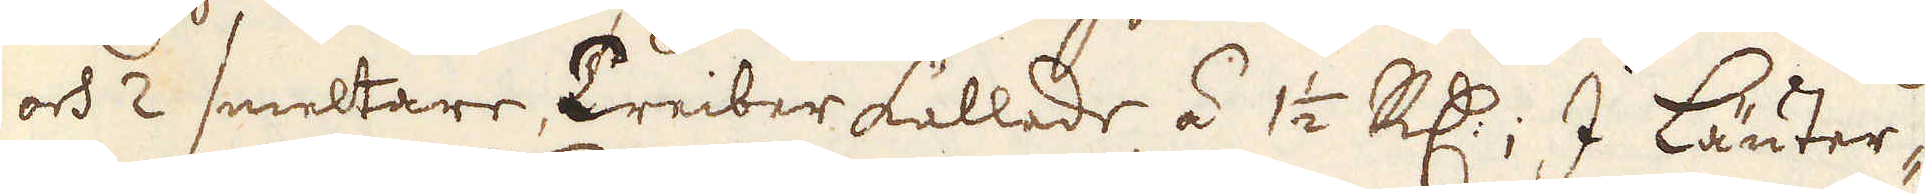och 2 smeltare, Treiber kallade, á 1/2 R:dr; I Läuter-
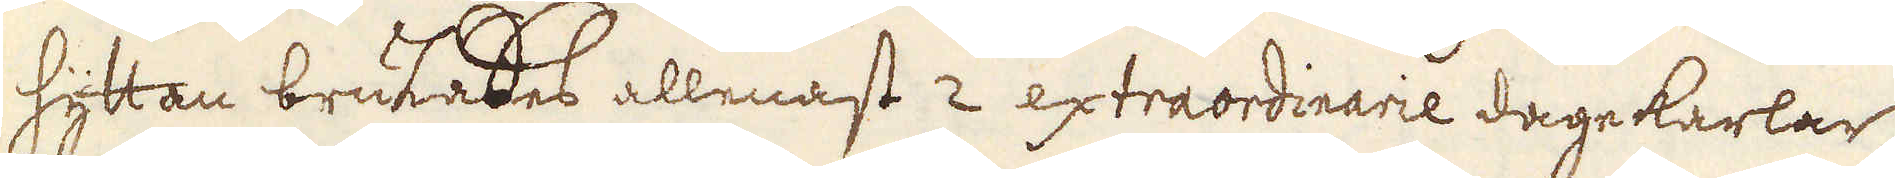hyttan brukakes allenast 2 extraordinarie dagekarlar
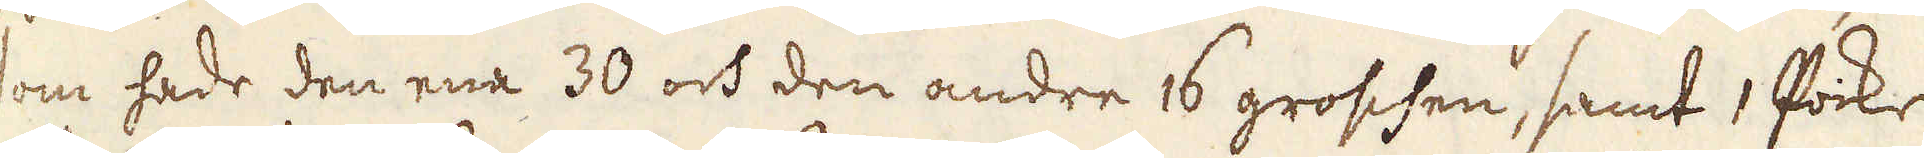som hade den ena 30 och den andre 16 groschen, samt 1 Poike
